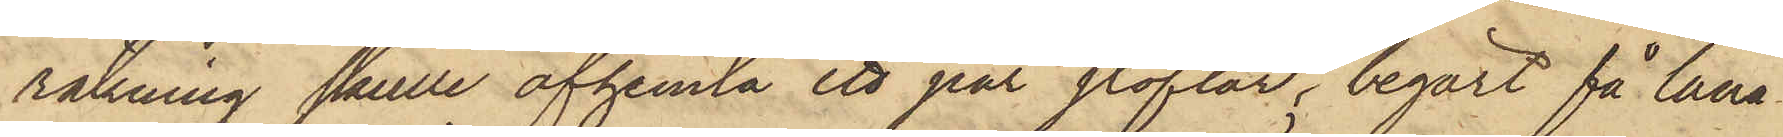räkning skulle afhemta ett par stöflar, begärt få låna
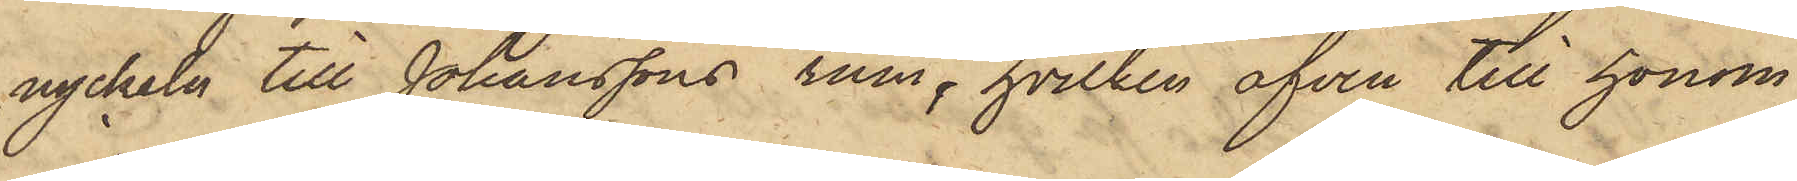nyckeln till Johanssons rum, hvilken äfven till honom
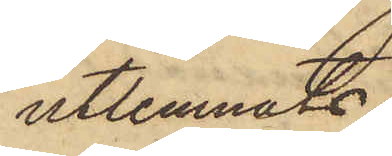utlemnats.
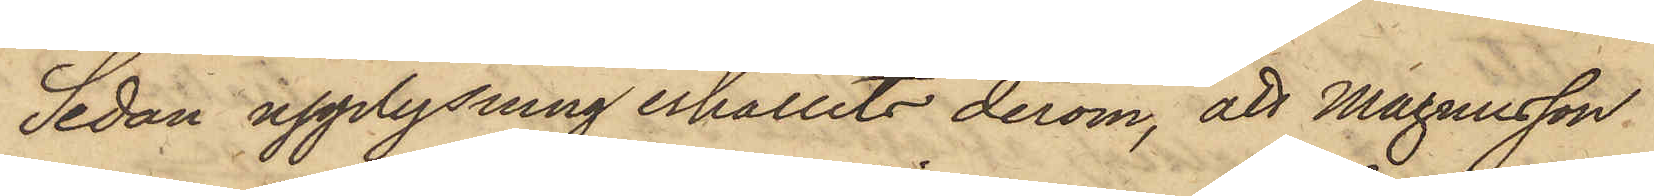Sedan upplysning erhållits derom, att Magnusson
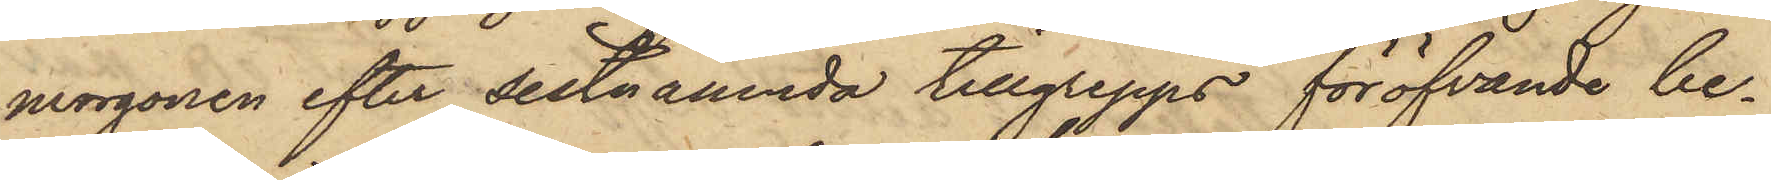morgonen efter sistnämnda tillgrepps föröfvande be¬
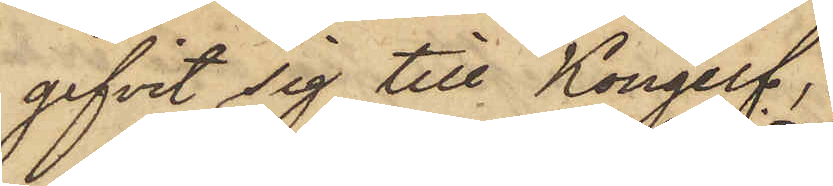gifvit sig till Kongelf;
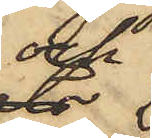och
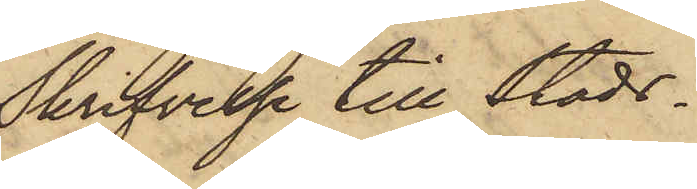Skrifvelse till Stads¬
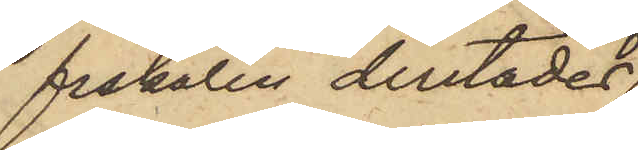fiskalen derstädes
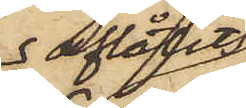aflåtits,
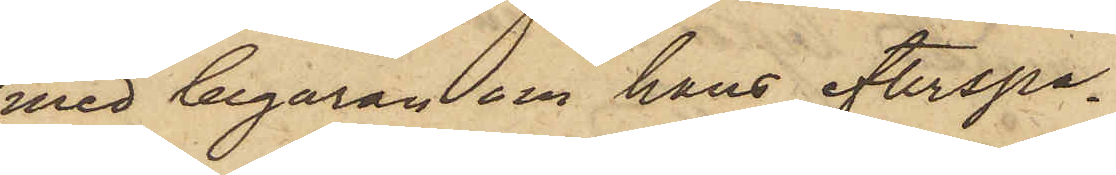med begäran om hans efterspa¬
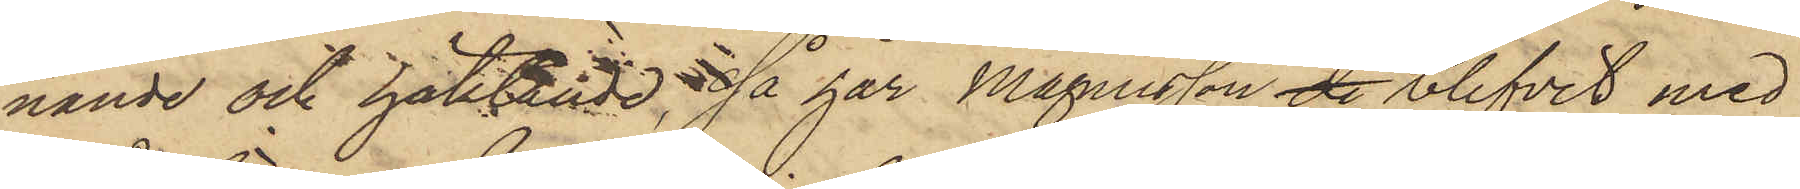nande och häktande, så har Magnusson de blifvit med
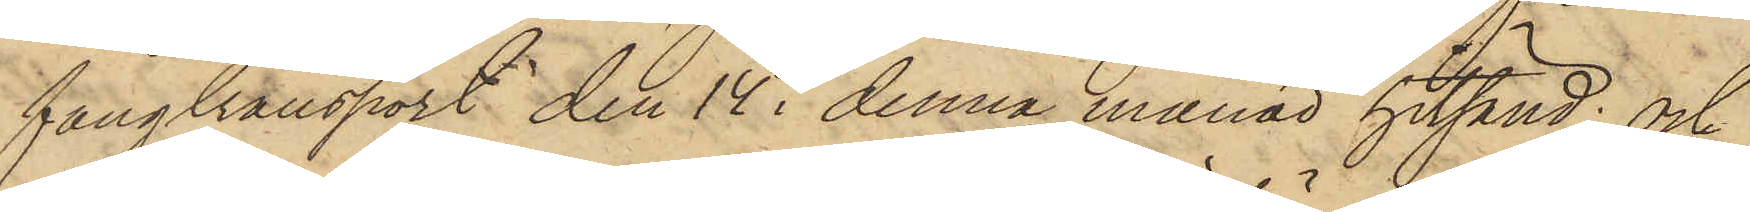fångtransport den 14 i denna månad hitsänd; och
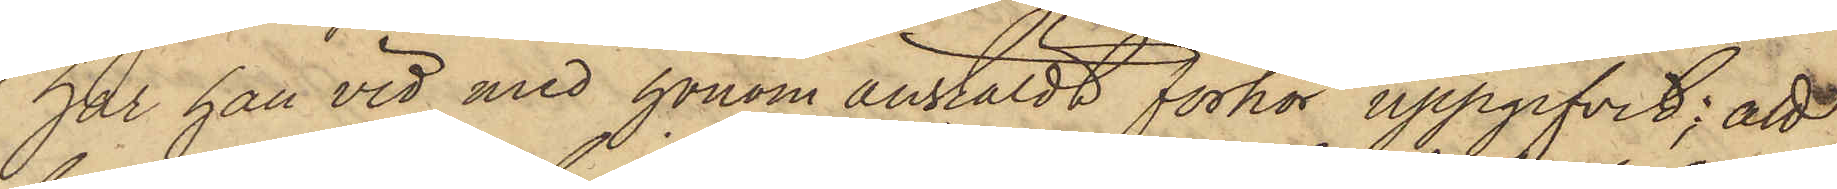har han vid med honom anstäldt förhör uppgifvit; att
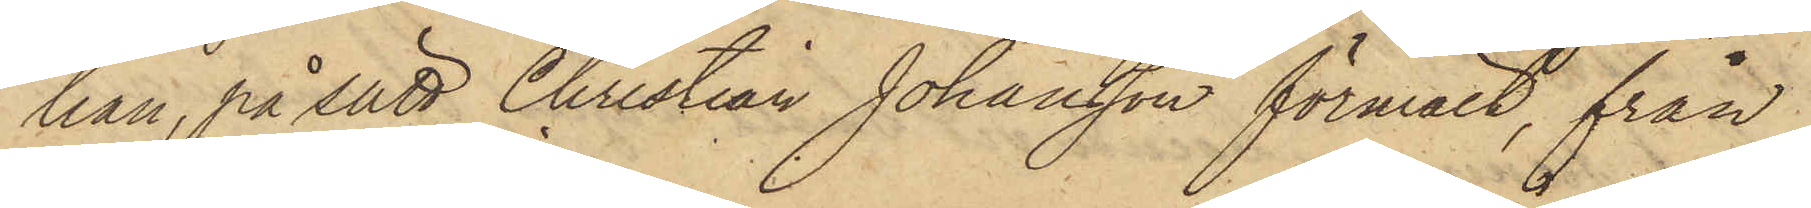han, på sätt Christian Johansson förmält, från
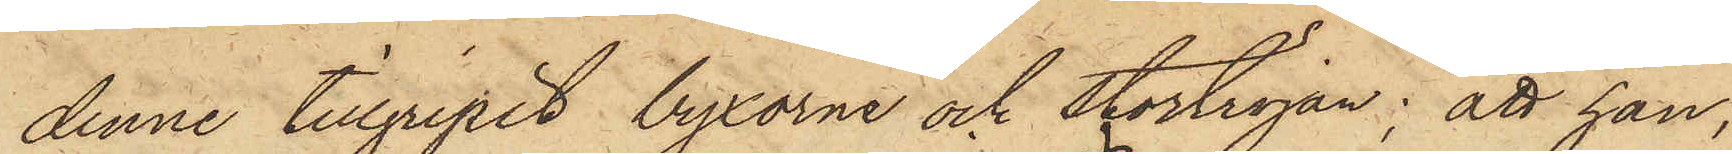denne tillgripit byxorna och stortröjan; att han,
